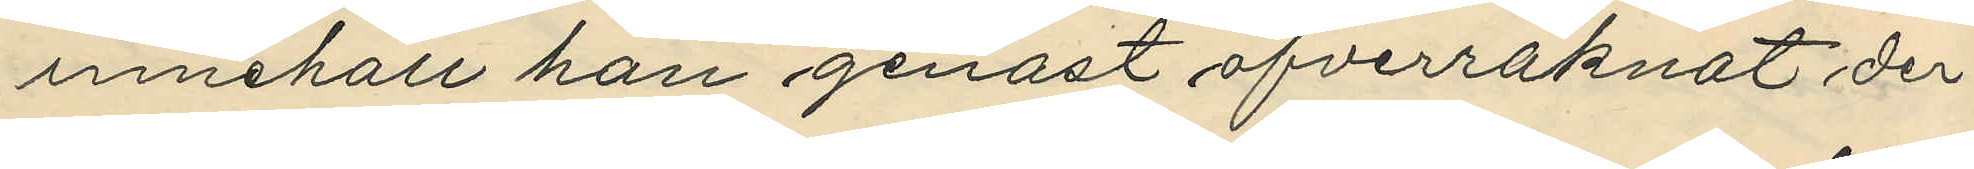innehåll han genast öfverräknat der¬
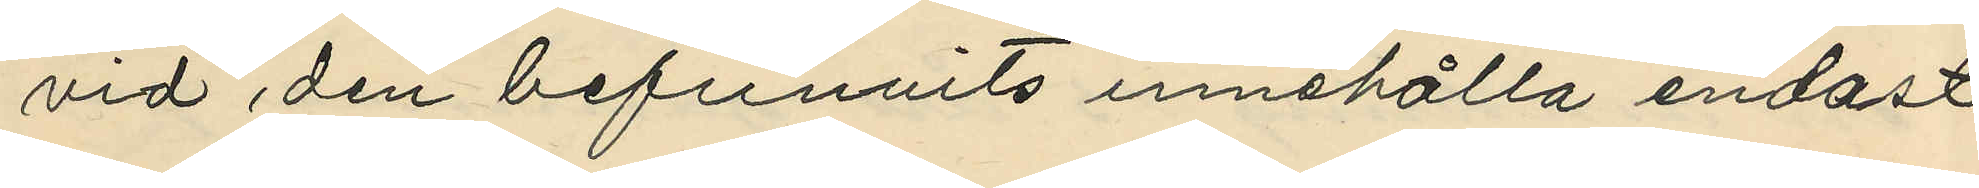vid den befunnits innehålla endast
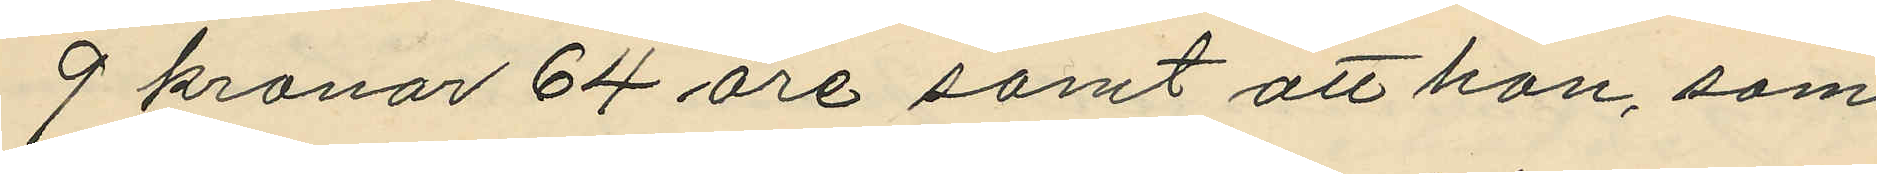9 kronor 64 öre samt att han, som
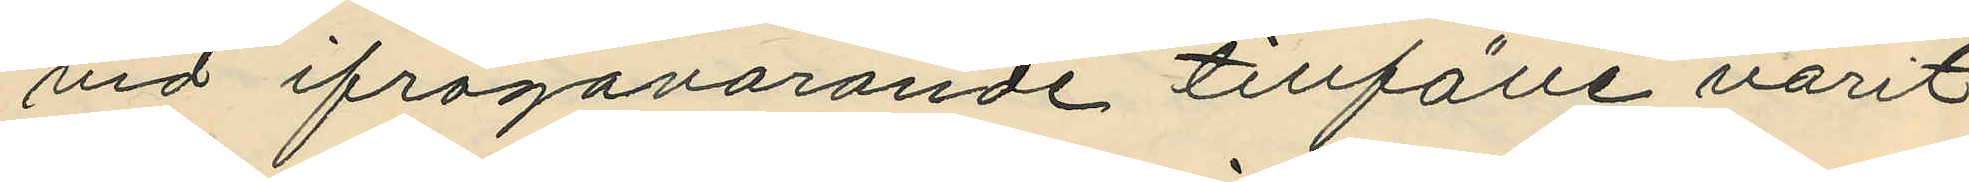vid ifrågavarande tillfälle varit
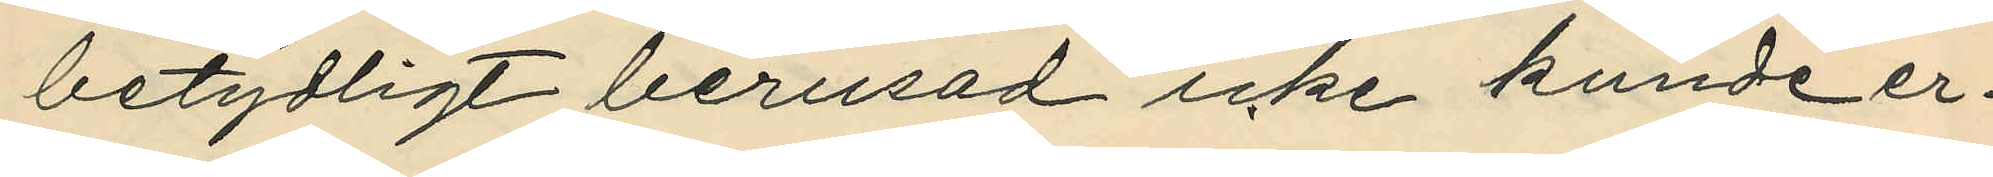betydligt berusad icke kunde er¬
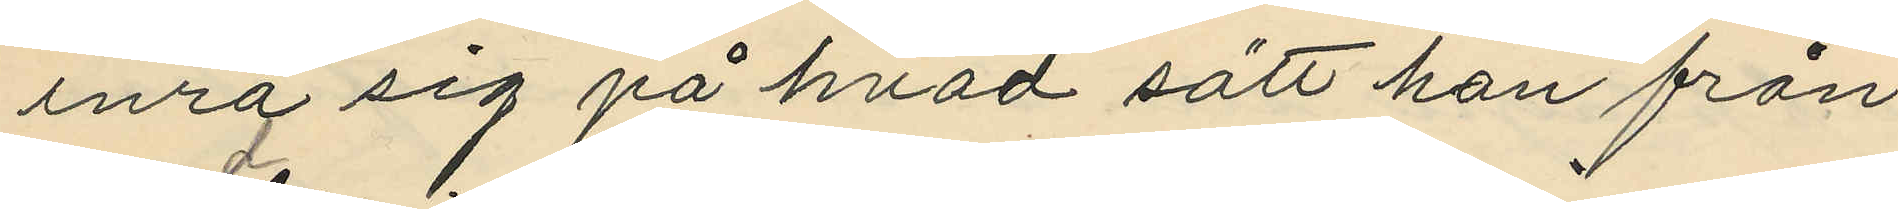inra sig på hvad sätt han från¬
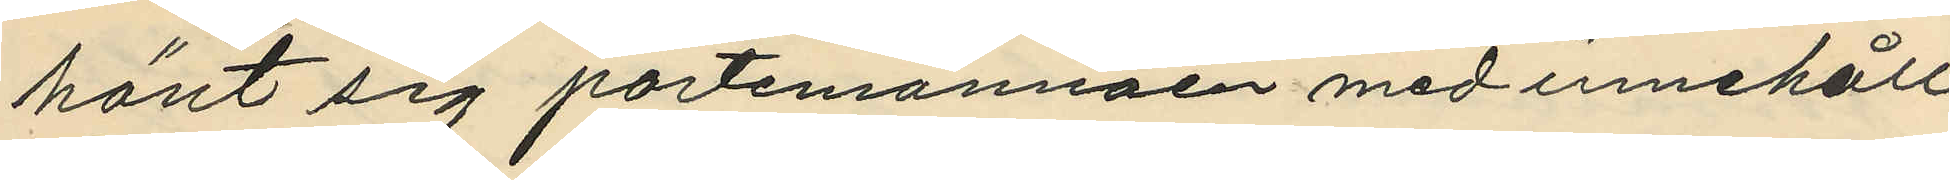händt sig portemonnaen med innehåll
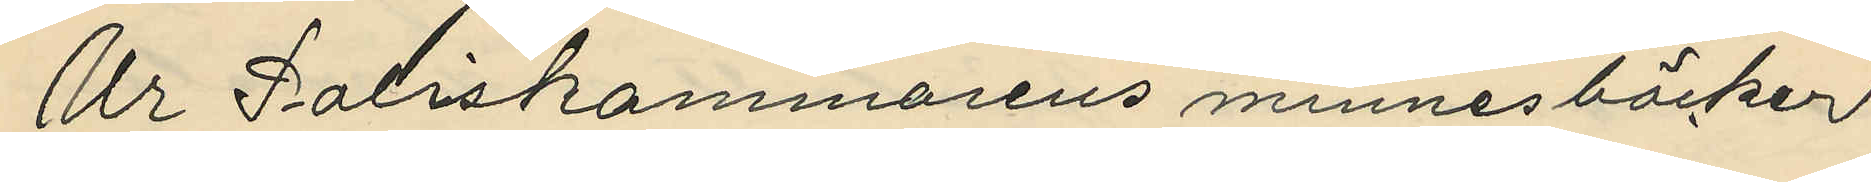Ur Poliskammarens minnesböcker
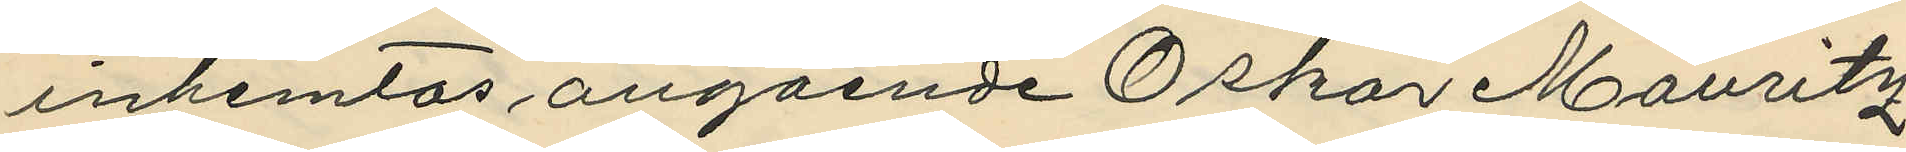inhemtas angående Oskar Mauritz
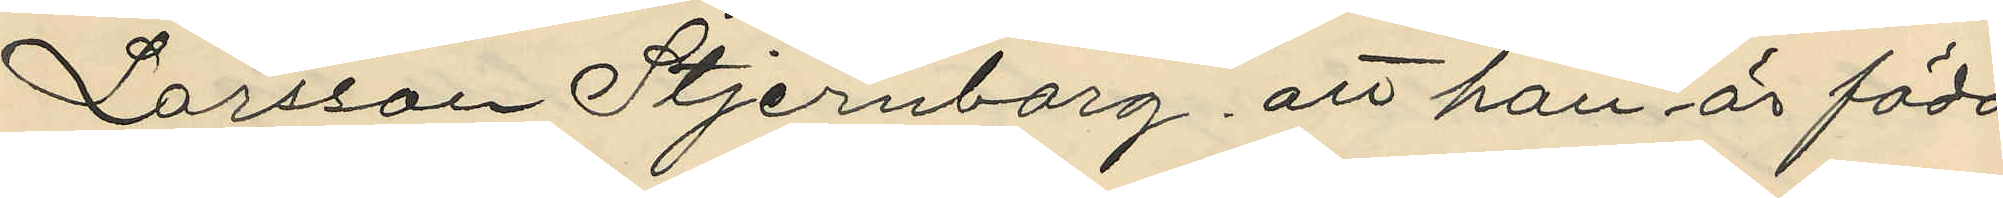Larsson Stjernborg, att han är född
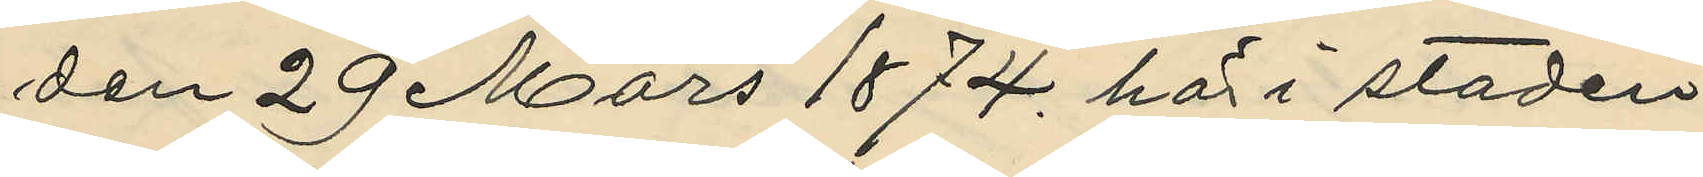den 29 Mars 1874, här i staden;
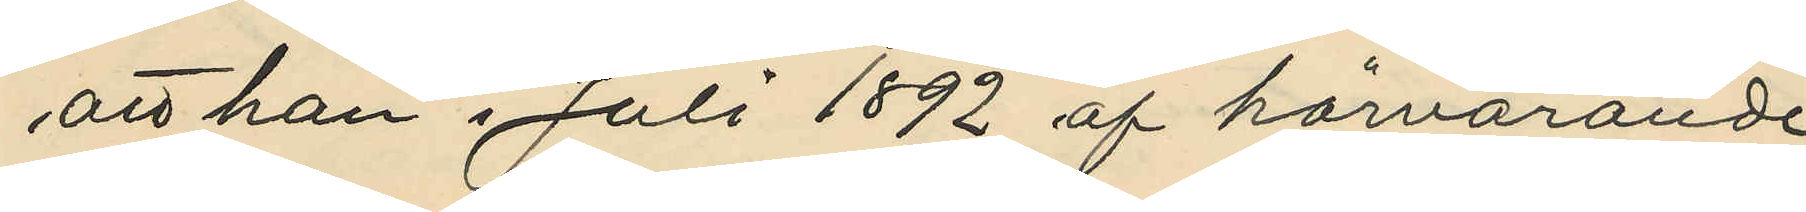att han i Juli 1892 af härvarande
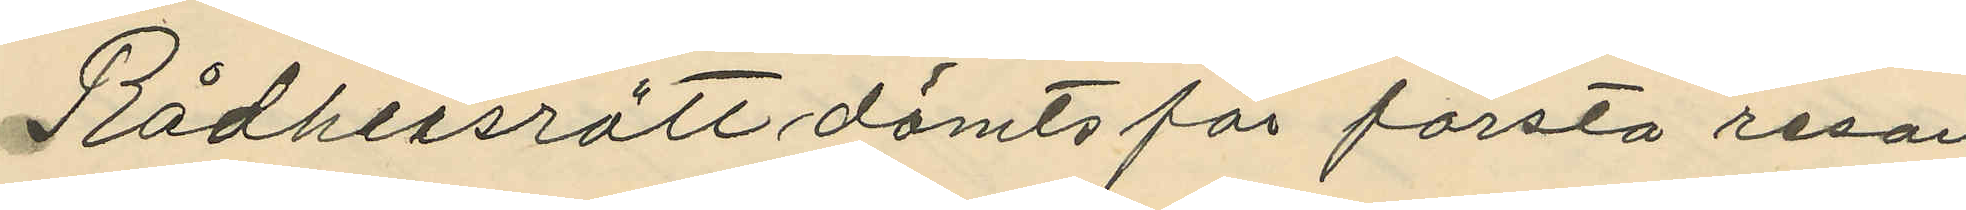Rådhusrätt dömts för första resan
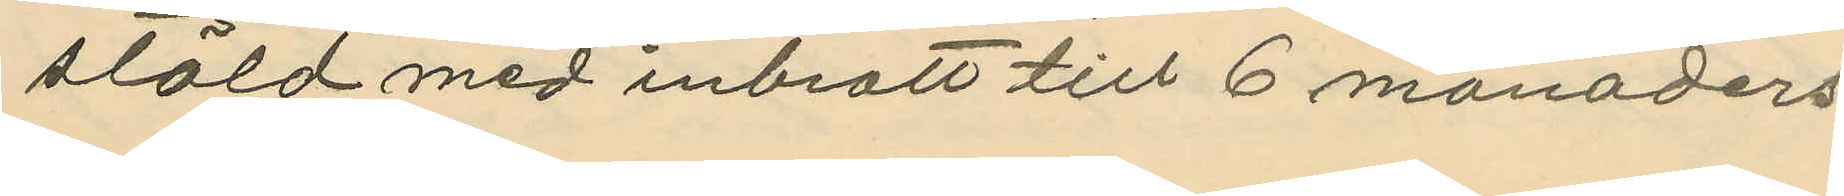stöld med inbrott till 6 månaders
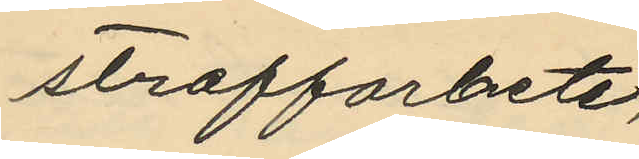straffarbete,
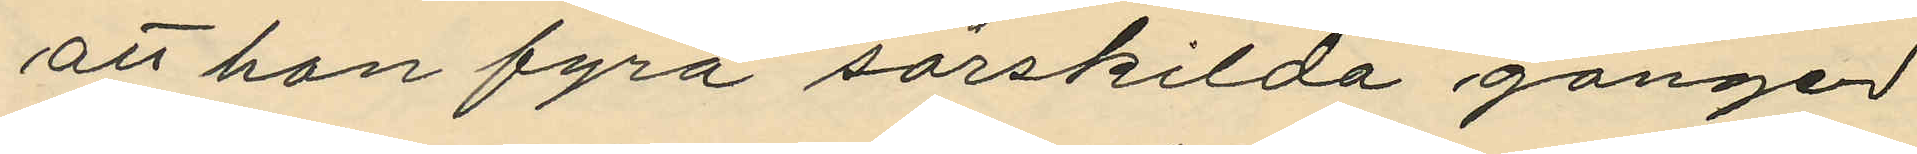att han fyra särskilda gånger
